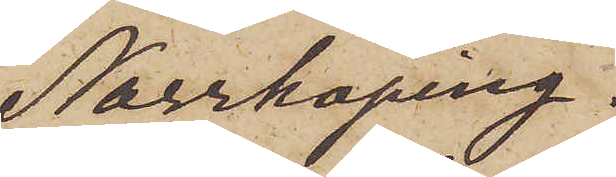Norrköping.
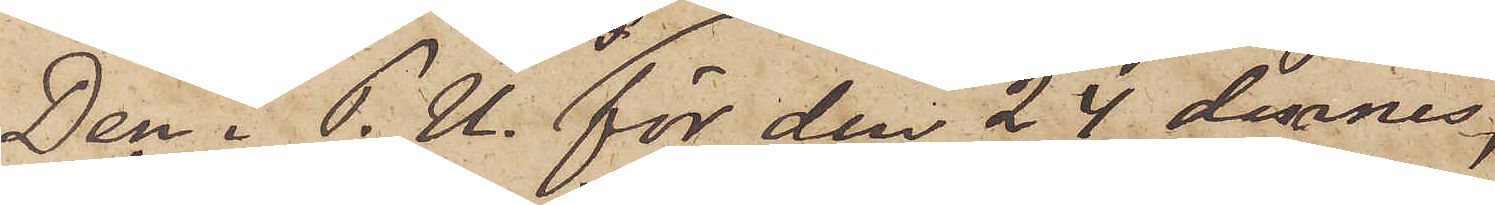Den  i P.U. för den 24 dennes,
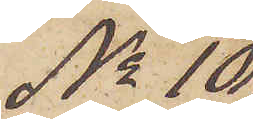No 10,
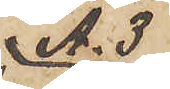A. 3
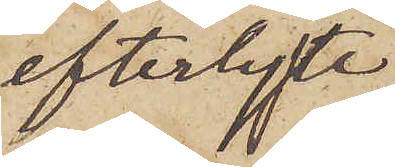efterlyste
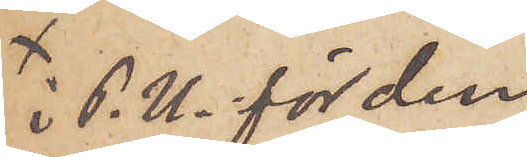i P. U. för den
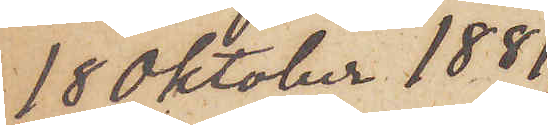18 Oktober 1881,
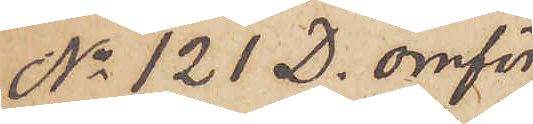No 121 D. omför¬
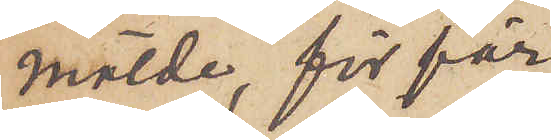mälde, för för¬
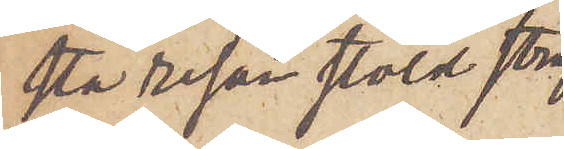sta resan stöld straf¬
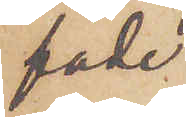fade
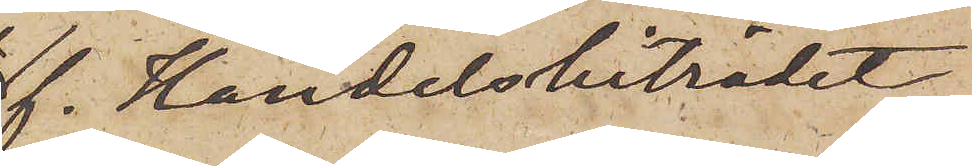f. Handelsbiträdet
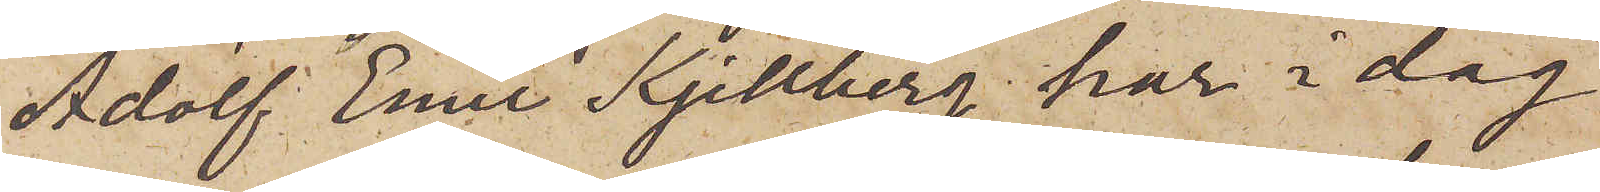Adolf Emil Kjellberg har i dag
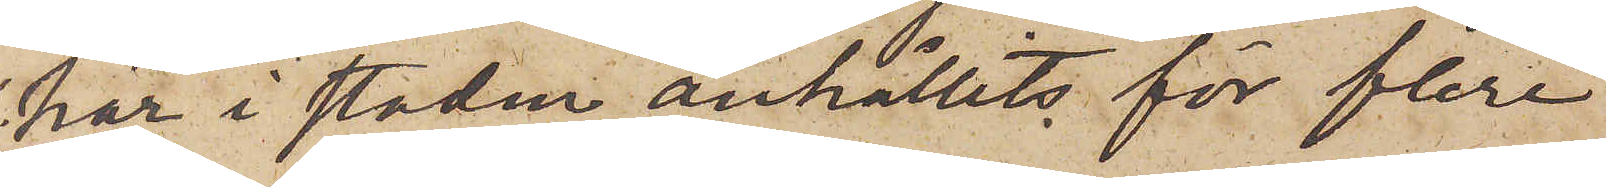här i staden anhållits för flere
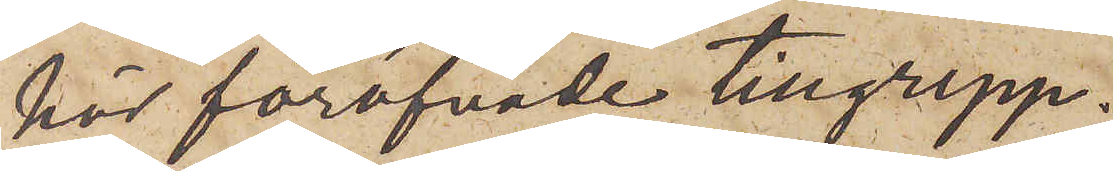här föröfvade tillgrepp.
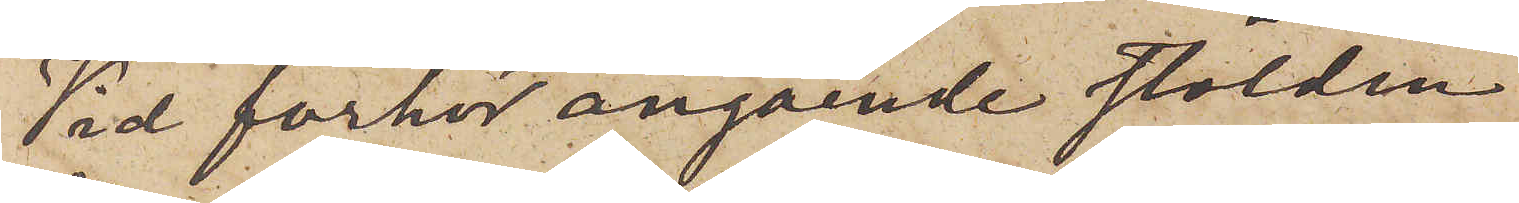Vid förhör angående stölden
